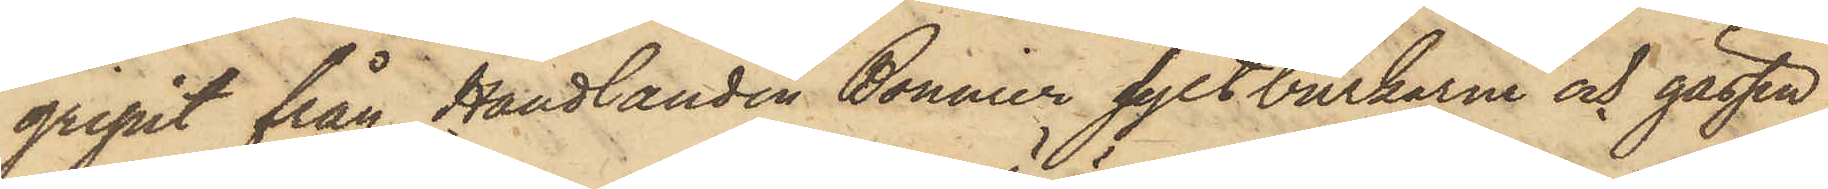gripit från Handlanden Bonnier syltburkarne och gässen,
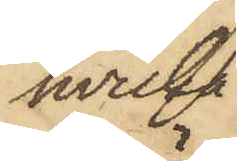hvilka
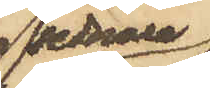sednare
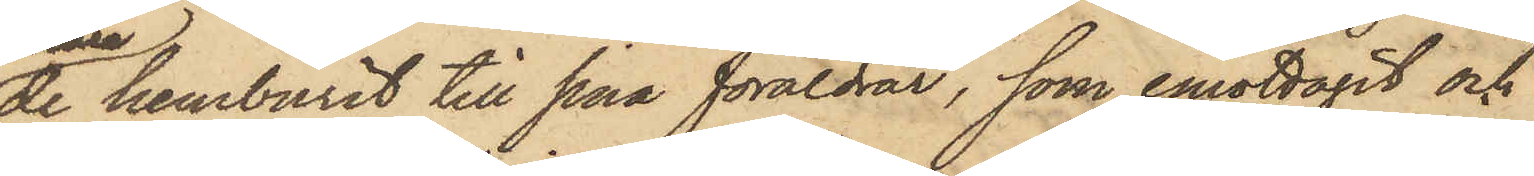de hemburit till sina föräldrar, som emottagit och
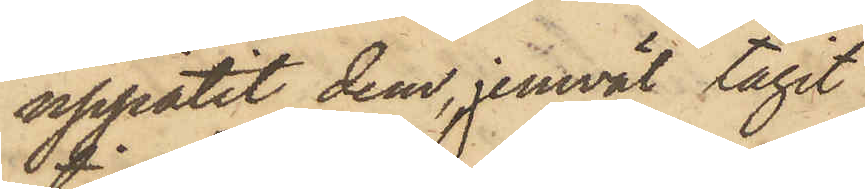uppätit dem, jemväl tagit
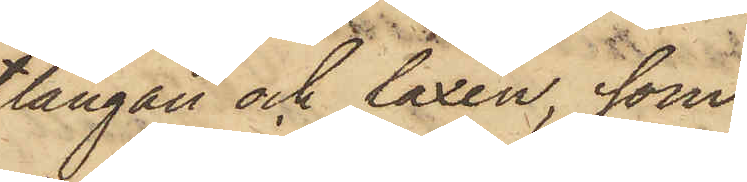långan och laxen, som
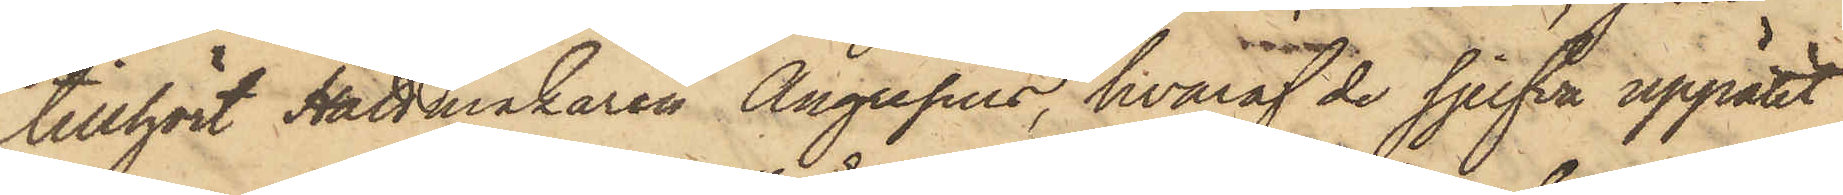tillhört Hattmakaren Angresius, hvaraf de sjelfva uppätit
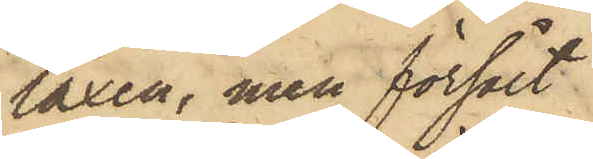laxen, men försålt
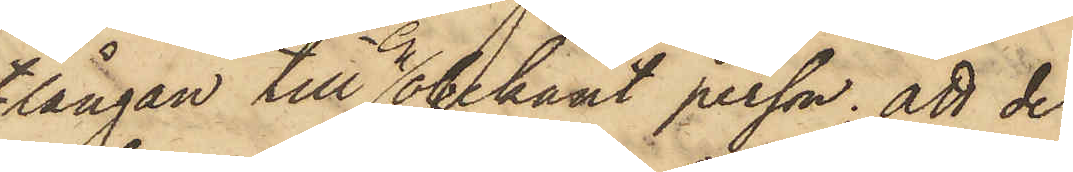långan till en obekant person; att de
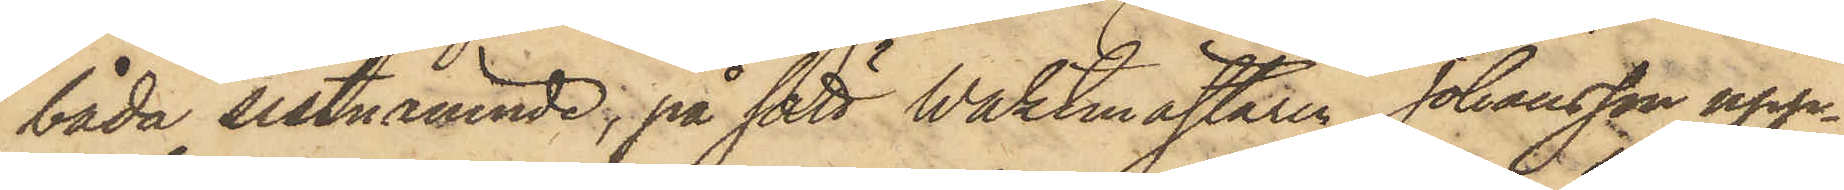båda sistnämnde; på sätt Waktmästaren Johansson upp¬
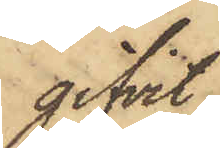gifvit,
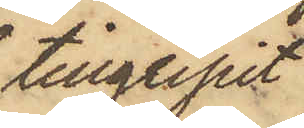tillgripit
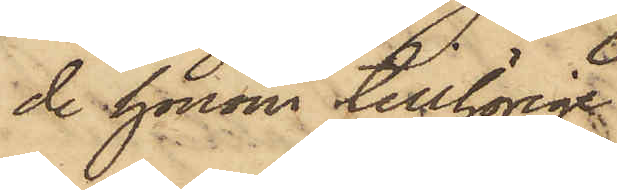de honom tillhörige
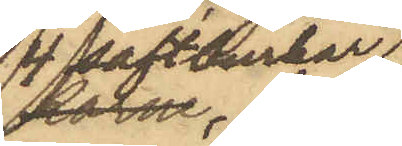4 saftburkar
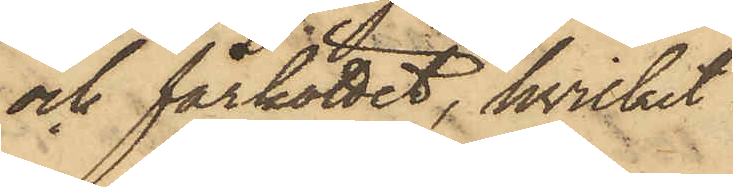och fårköttet, hvilket
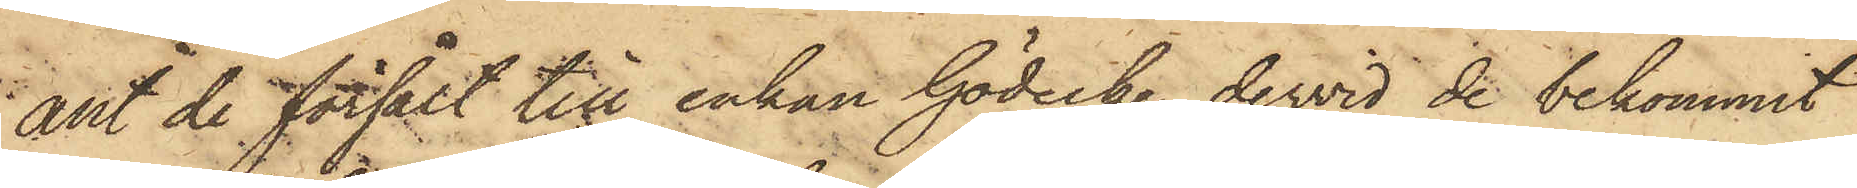allt de försålt till enkan Gödecke, dervid de bekommit
